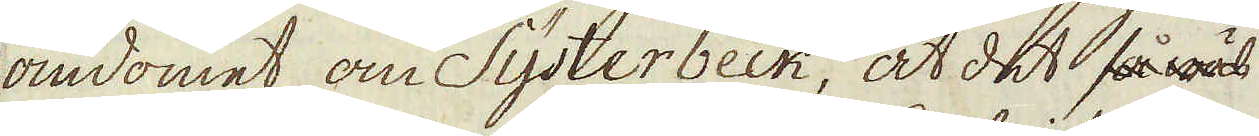omdömet om Systerbeck, at det så wäl
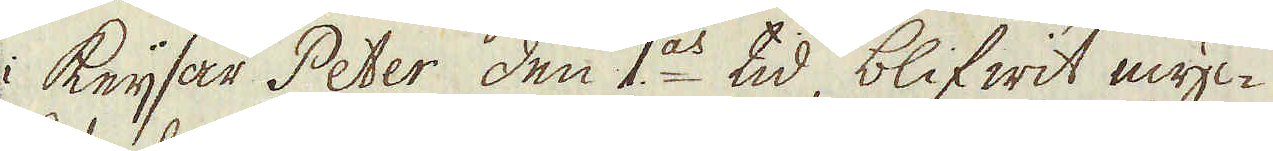i Keijsar Peter den I:as tid, blifwit myc-
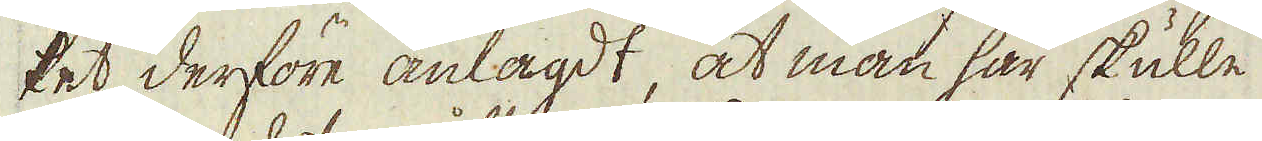ket derföre anlagdt, at man här skulle
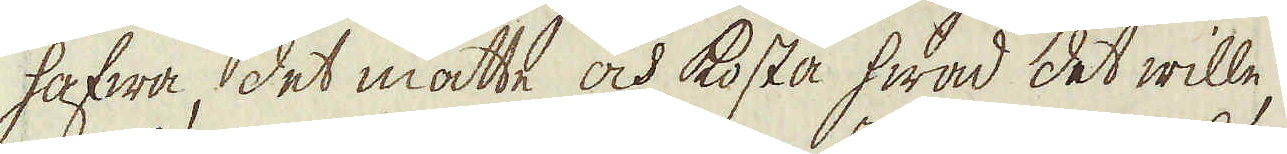hafwa, det måtte och kosta hwad det wille,
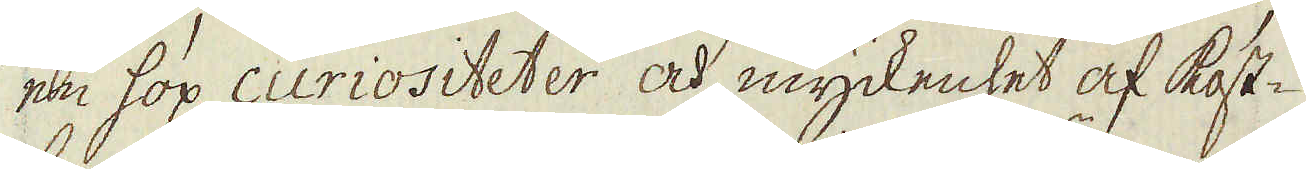en hop curiositeter och myckenhet af kost-
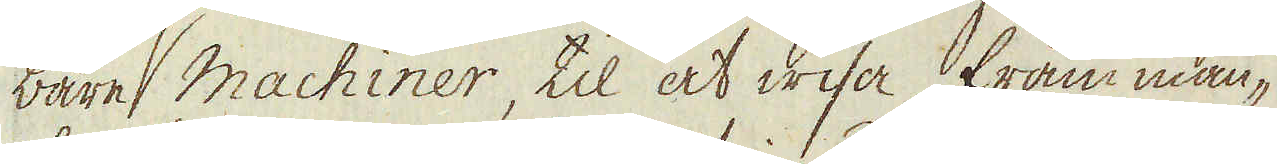bare machiner, til at wisa främman-
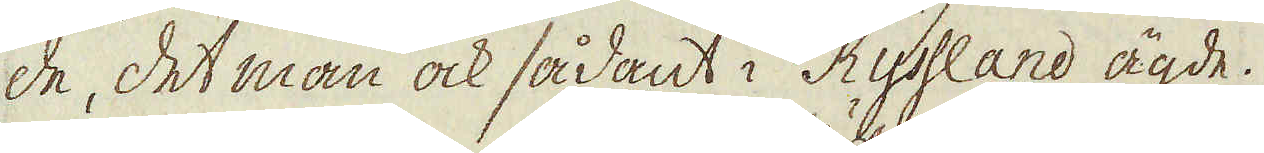de, det man ock sådant i Ryssland ägde.
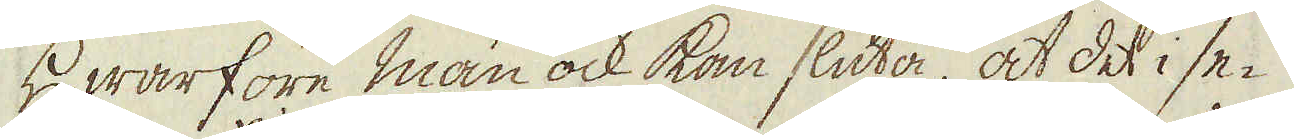Hwarföre man ock kan sluta, at det i se-
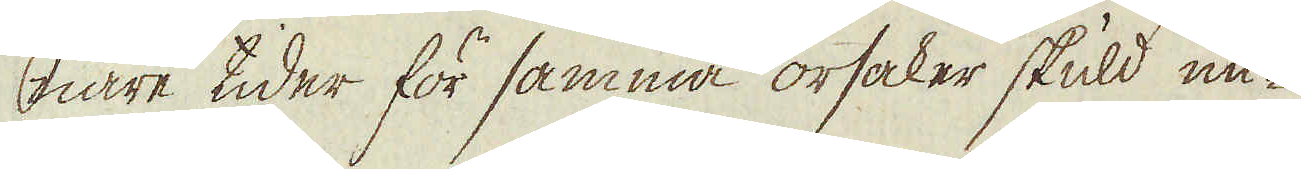nare tider för samma orsaker skuld un-
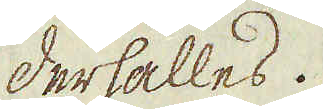derhålles.
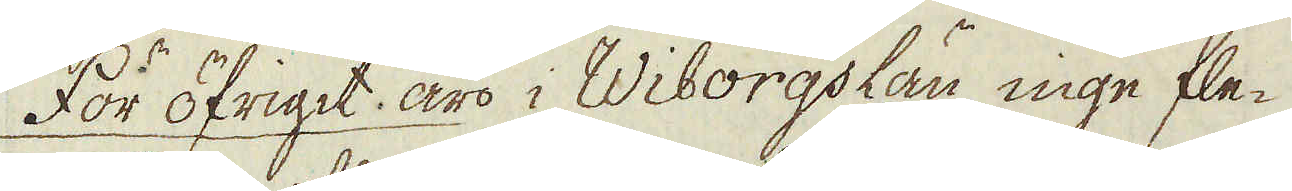För öfrigit äro i Wiborgs län inge fle-
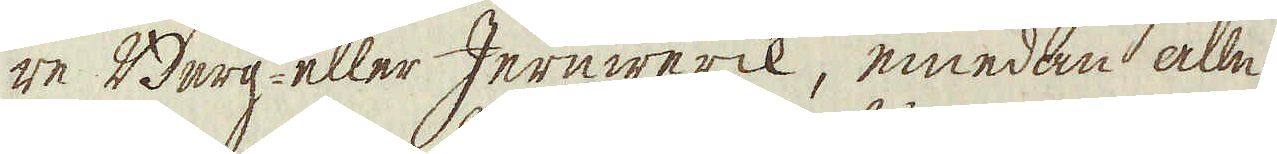re Berg- eller Jernwerck, emedan alle
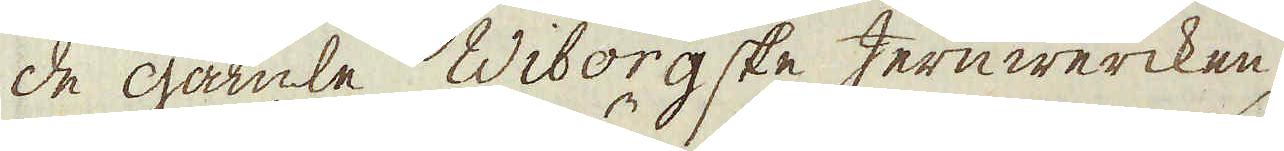de gamle Wiborgske Jernwercken,
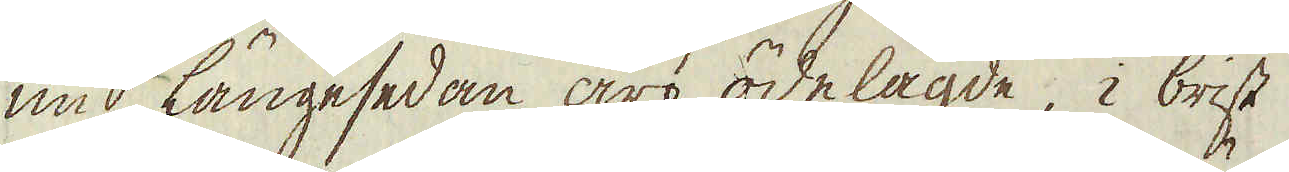nu längesedan äro ödelagde, i brist
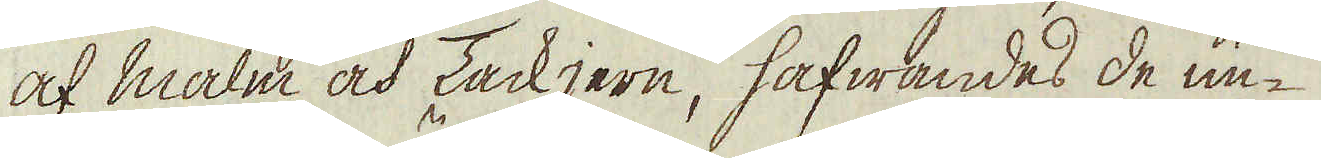af malm och Tackjern, hafwandes de un-
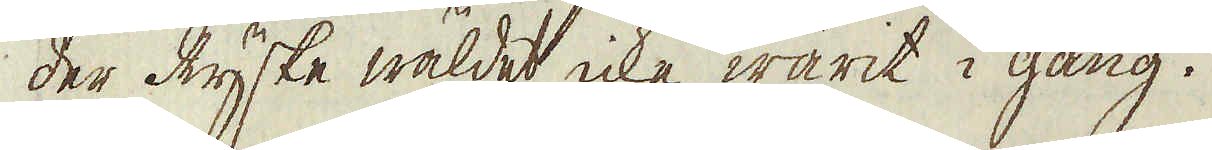der Ryske wäldet icke warit i gång.
